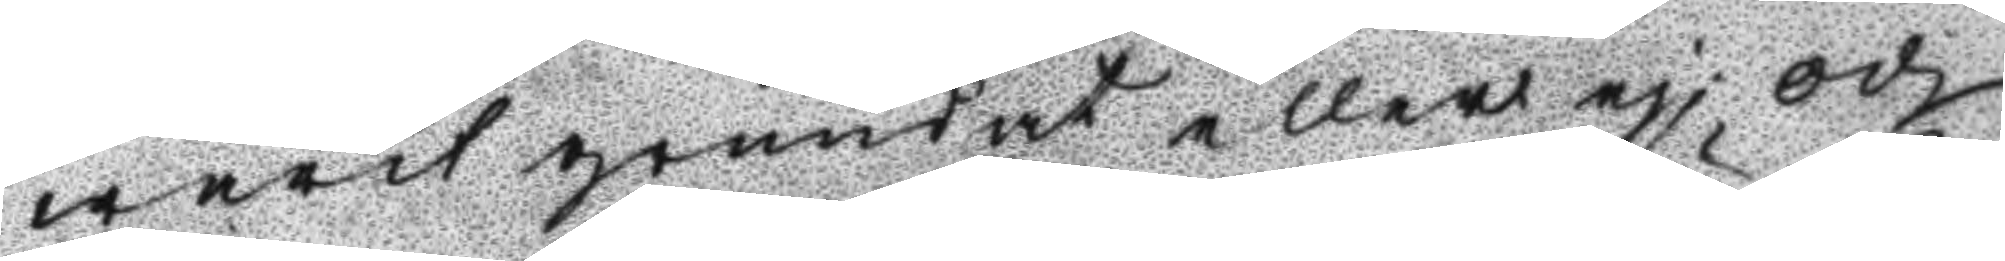warit grundat eller ej, och
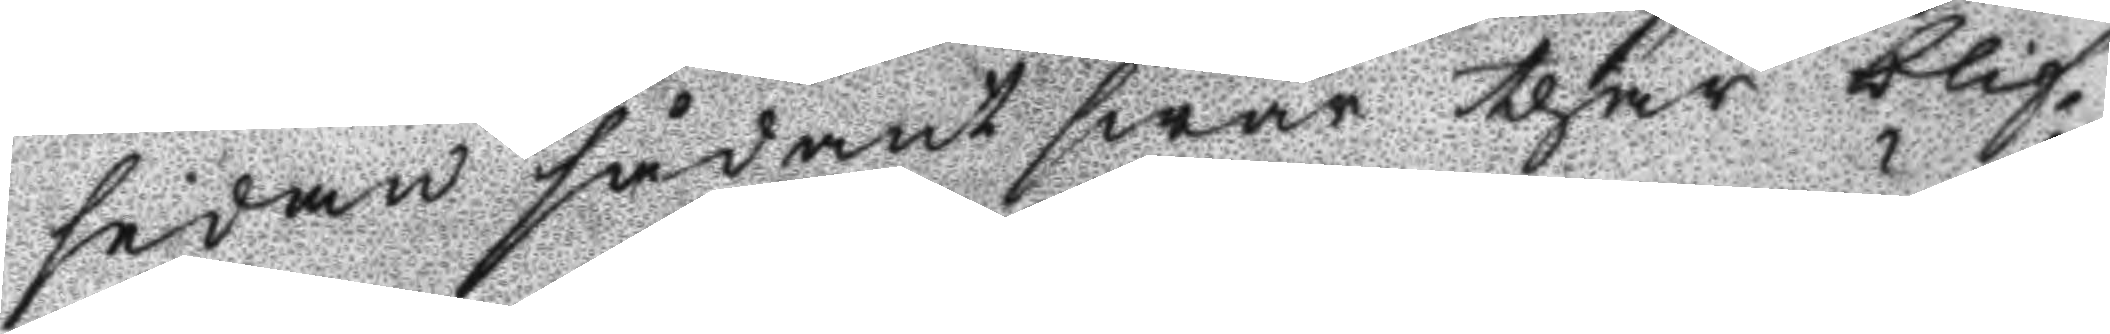sedan sådant swar thär blif¬
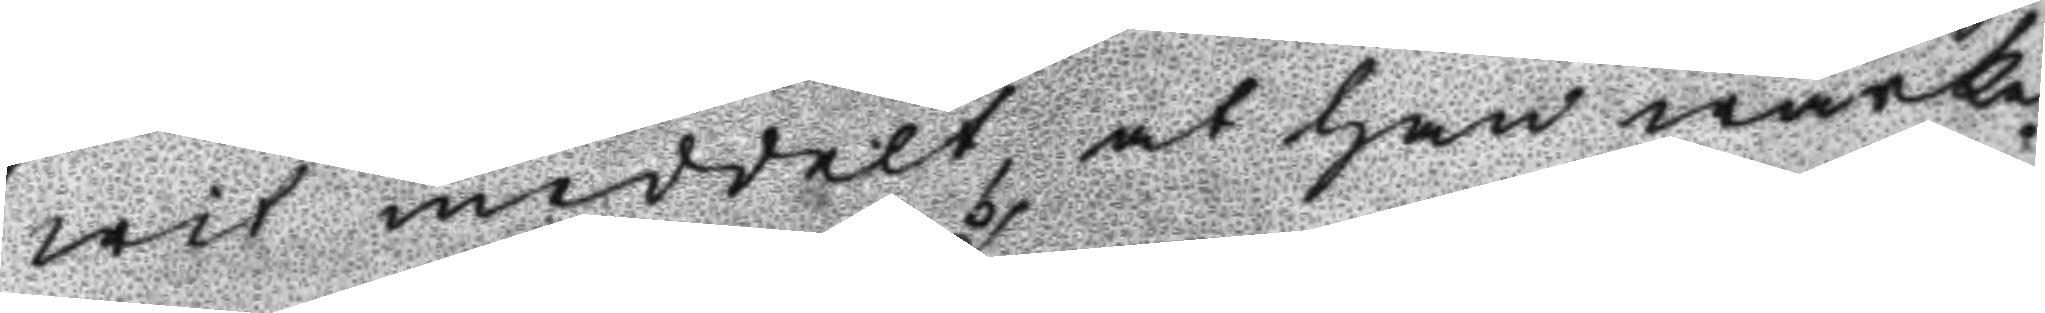wit meddelt at han wärke¬
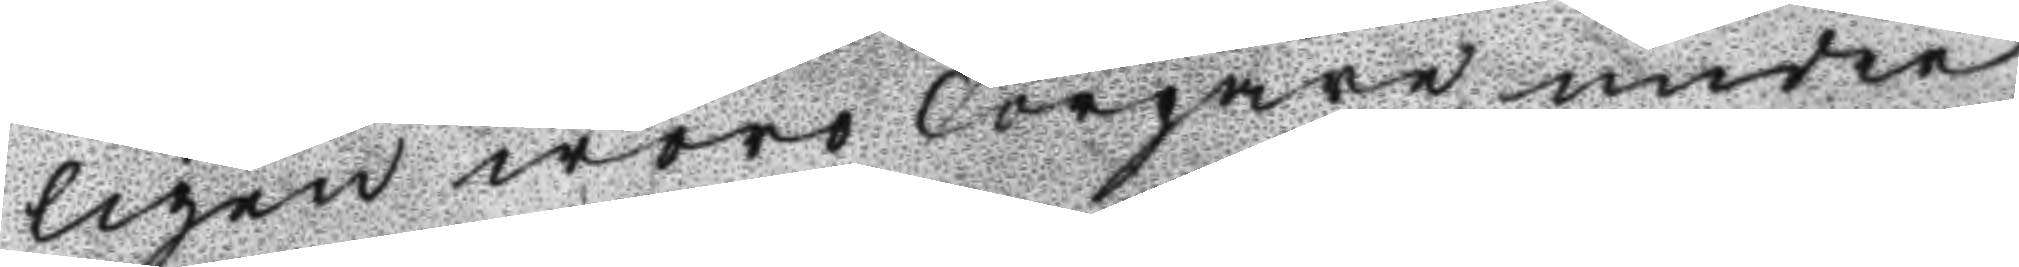ligen woro Torpare under
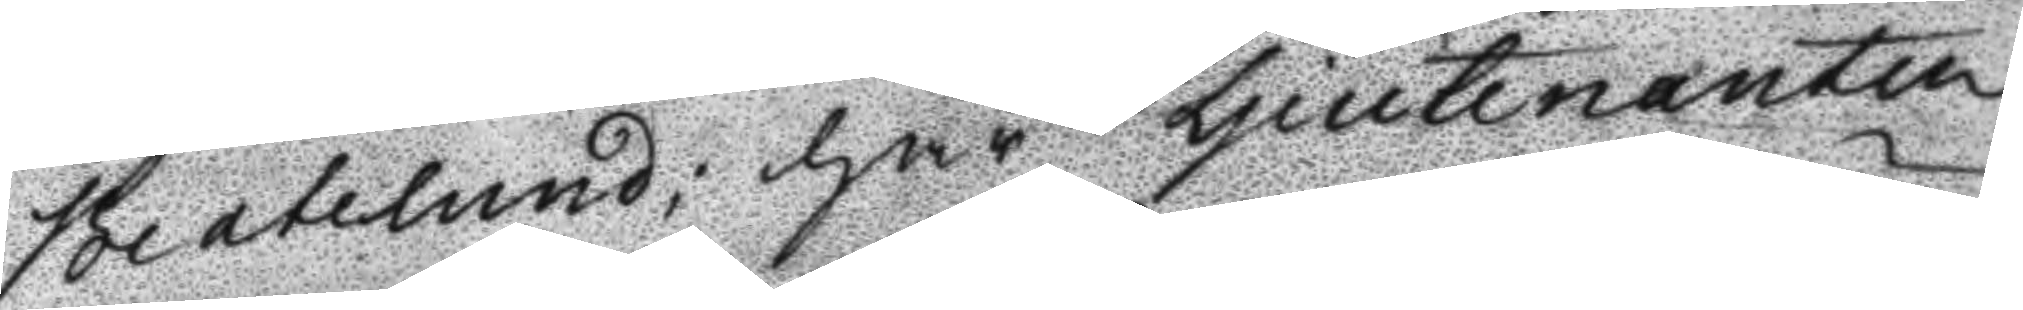Beatelund; har Ljeutenanten
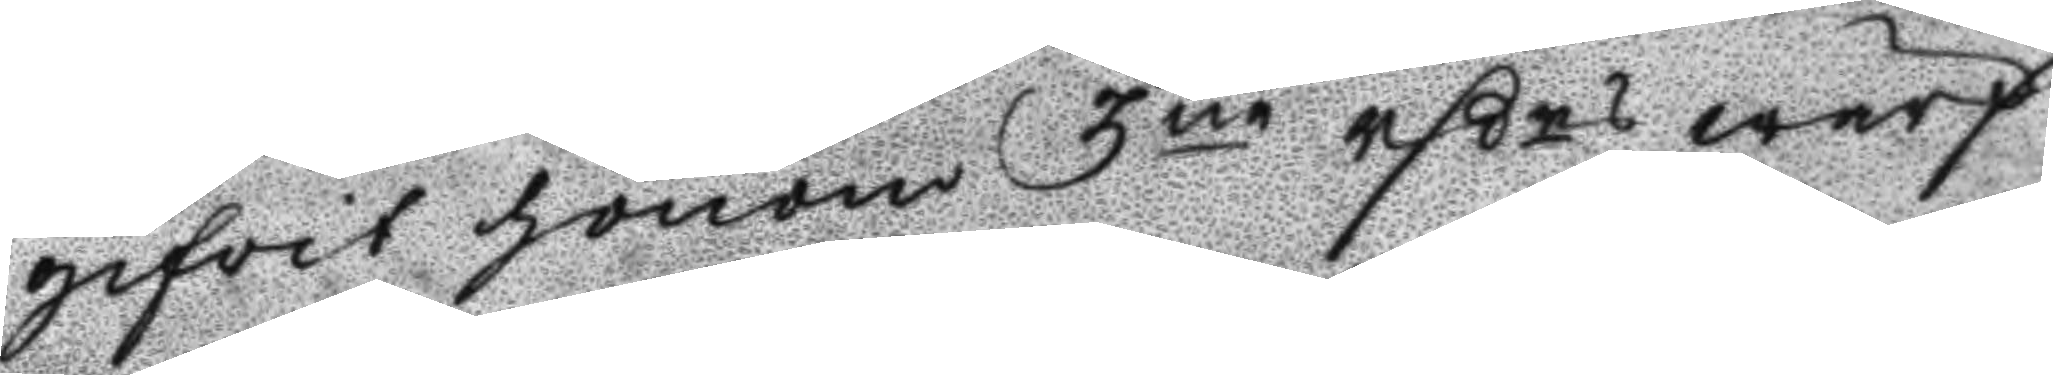gifwit honom 3ne rßrs wärf
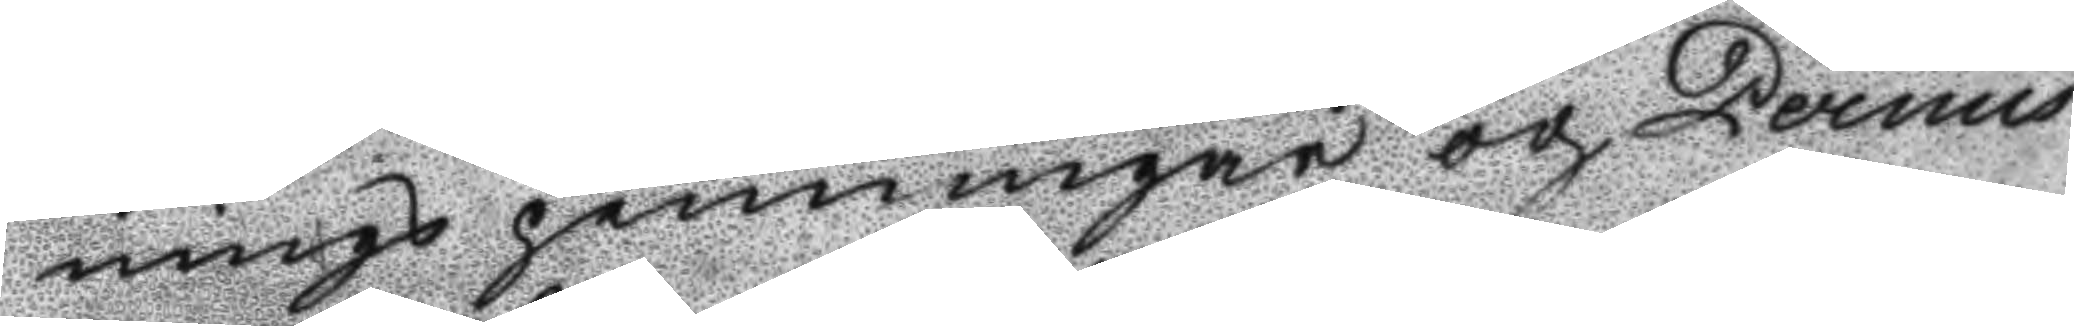nings penningar och Permis¬
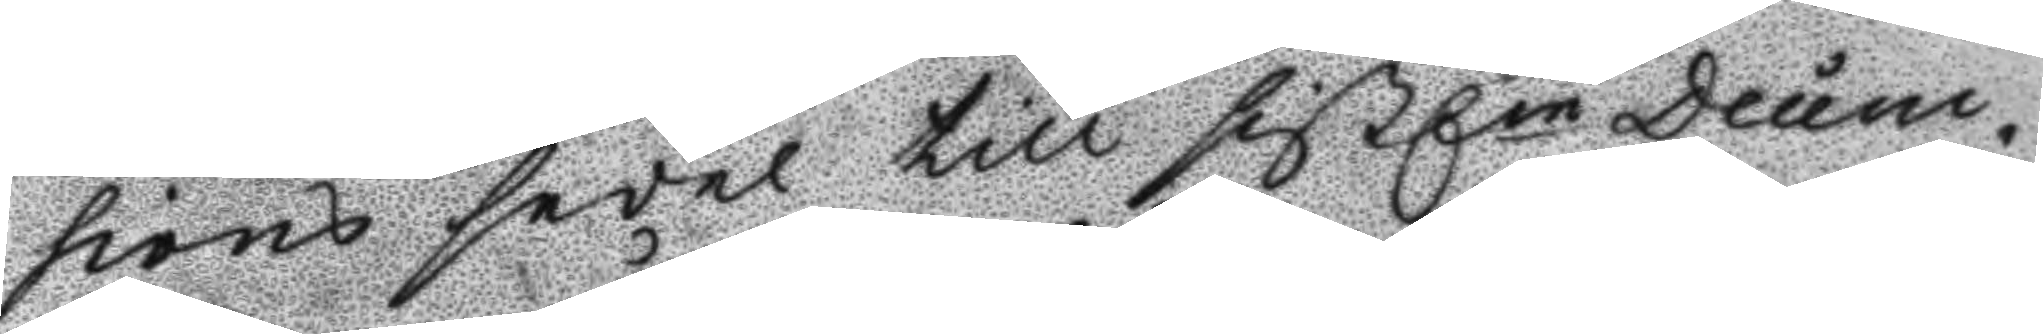sions sedel till sistln Decem¬
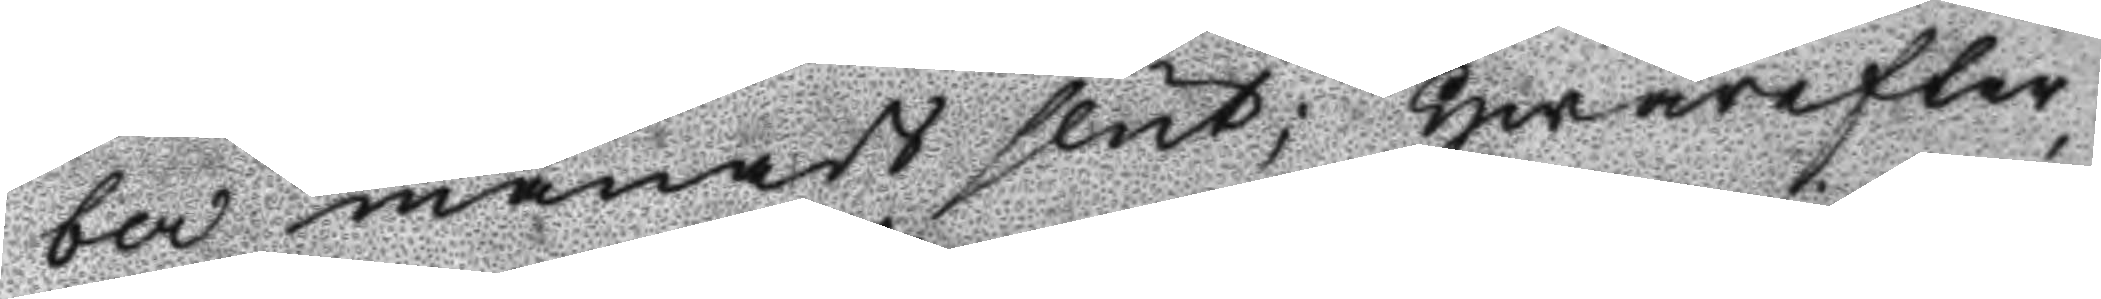ber månads slut; Hwarefter
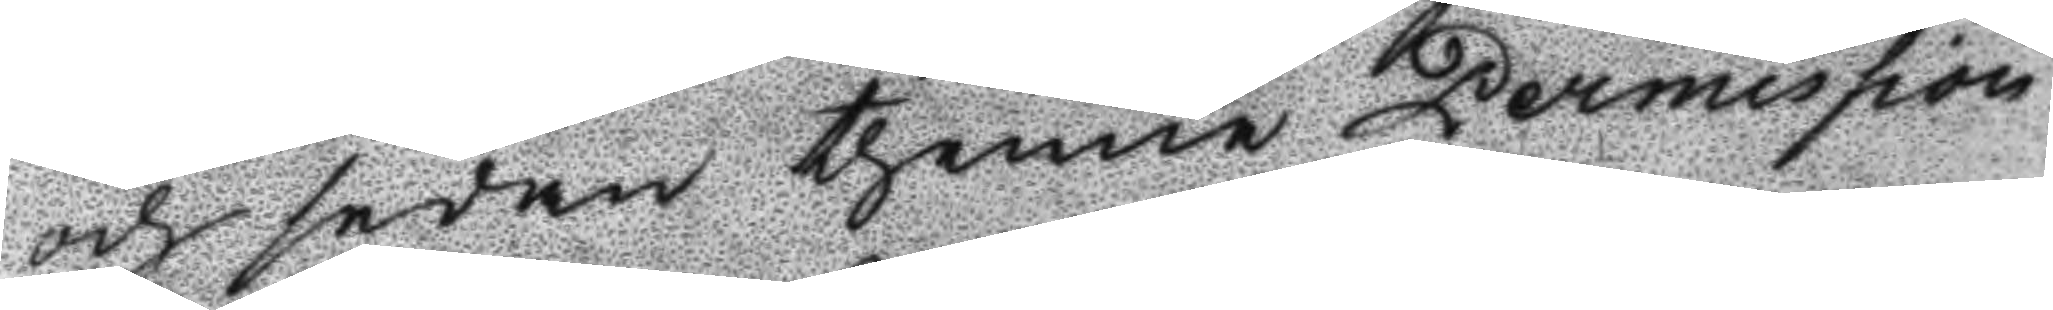och sedan thenne Permission
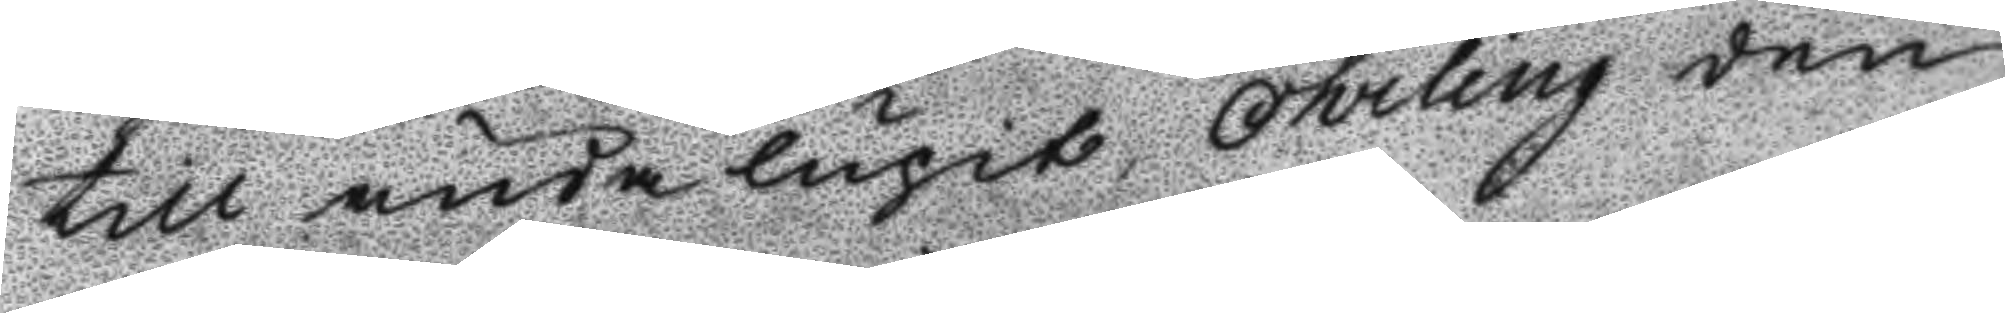till ända lupit, Öhrling den
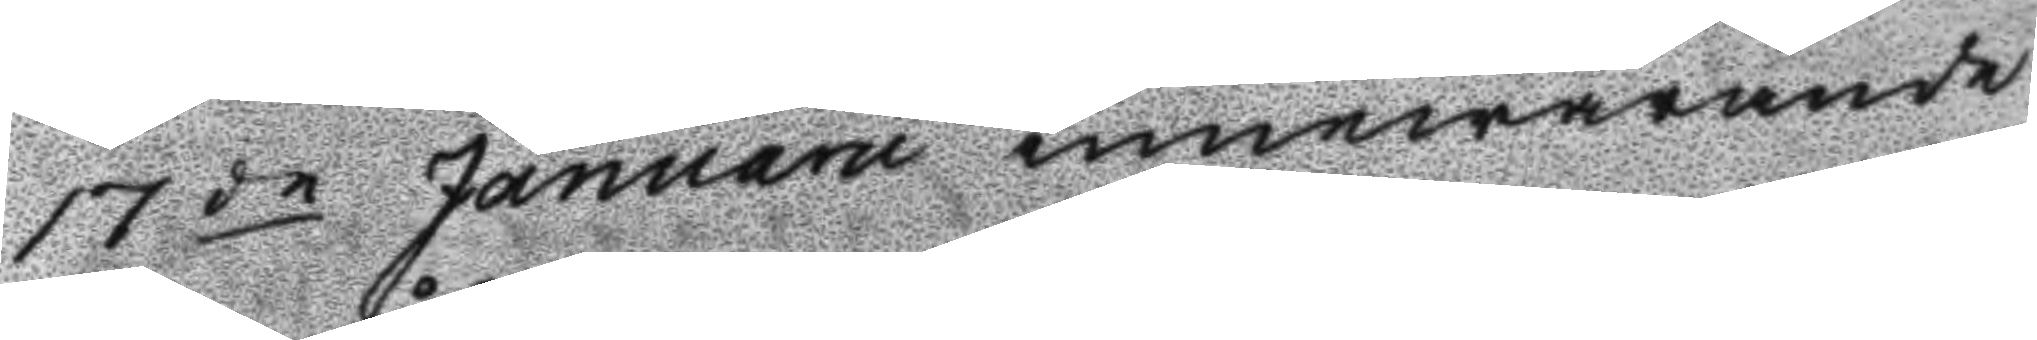17de Januaru innewarande
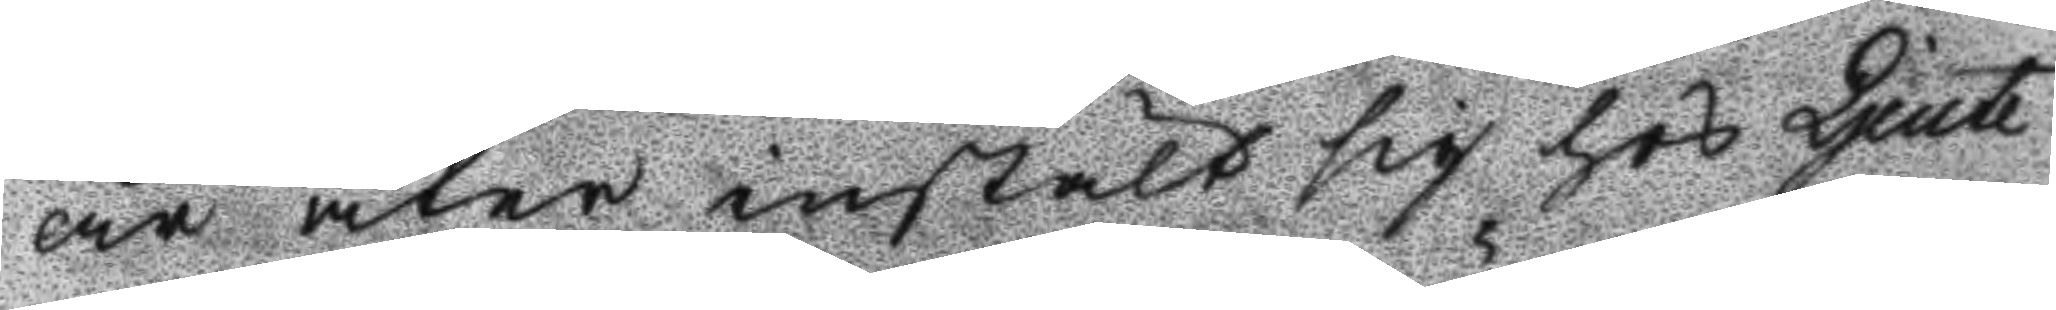år åter instält sig hos Ljeute¬
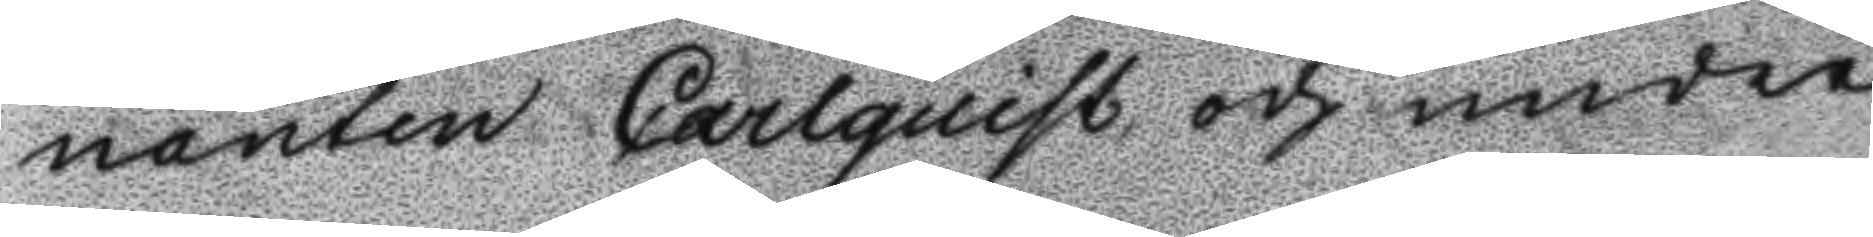nanten Carlquist och under
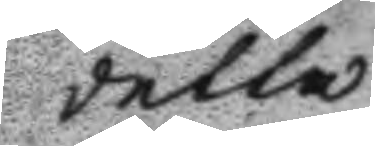detta
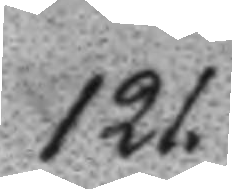121.
